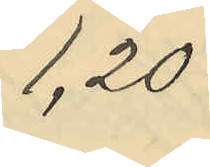1,20
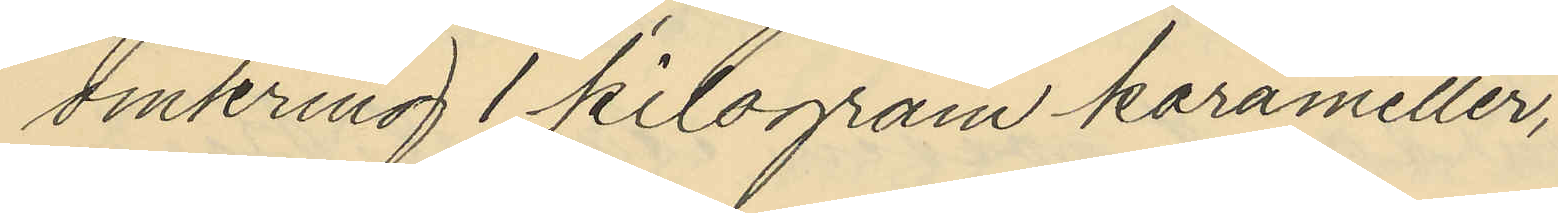omkring 1 kilogram karameller,
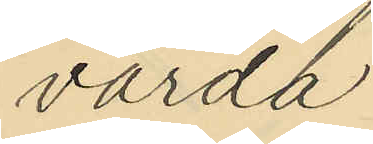värda
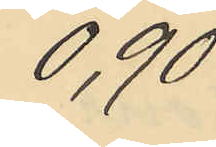0,90
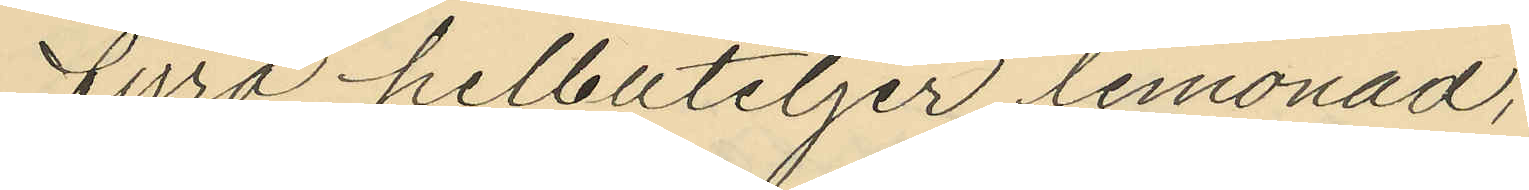fyra helbuteljer lemonad,
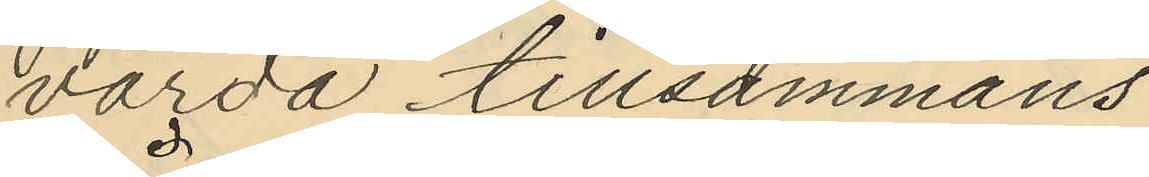värda tillsammans
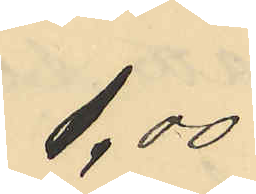1,00
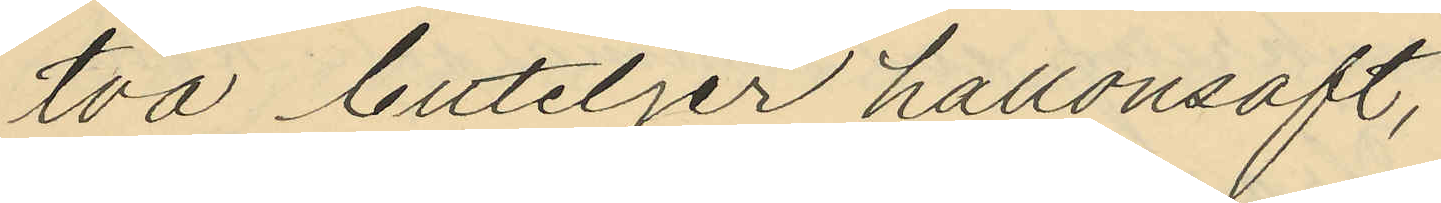två buteljer hallonsaft,
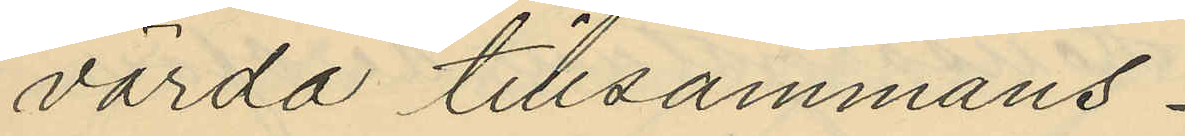värda tillsammans
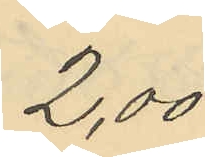2,00
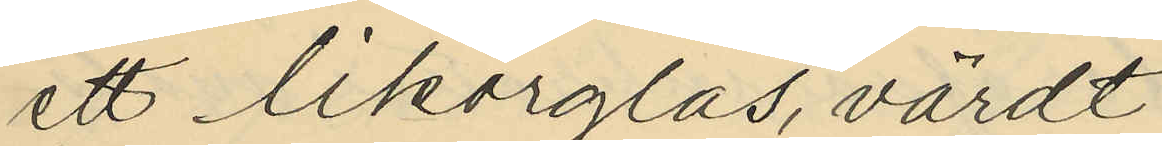ett likörglas, värdt
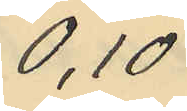0,10
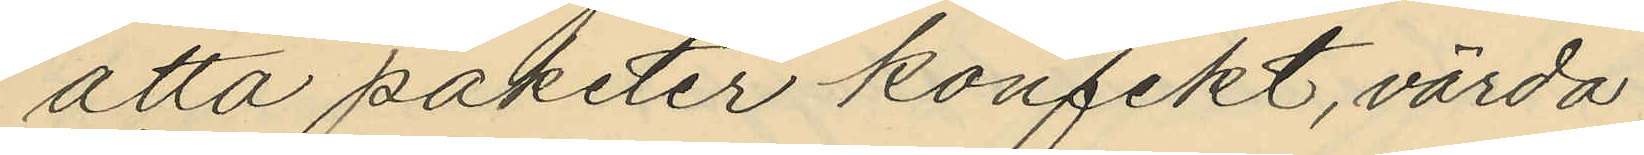åtta paketer konfekt, värda
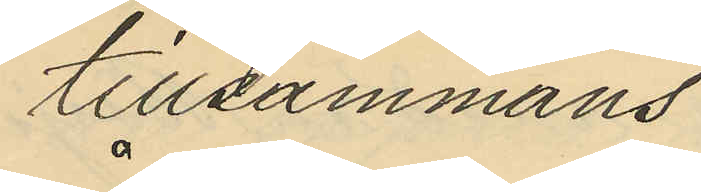tillsammans
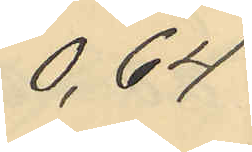0,64
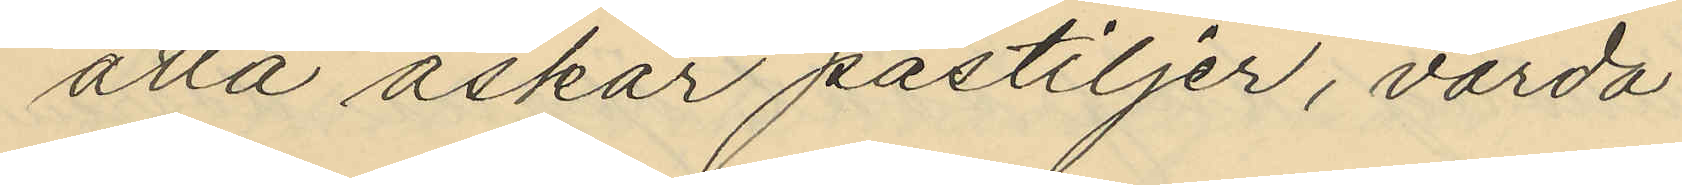åtta askar pastiljer, värda
